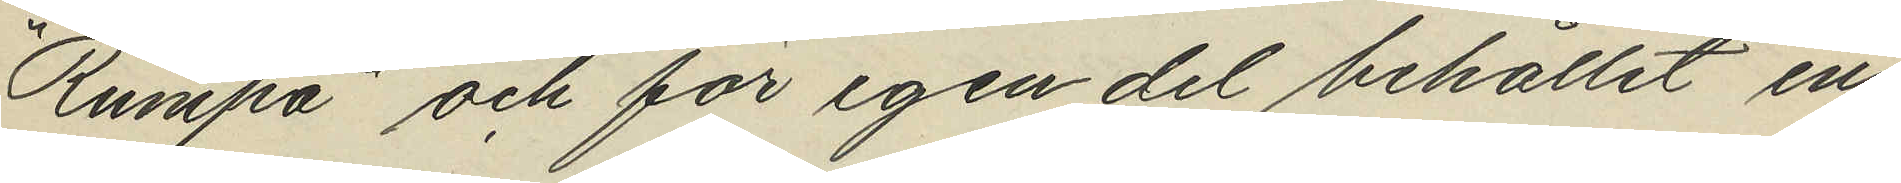"Rumpa" och för egen del behållit en
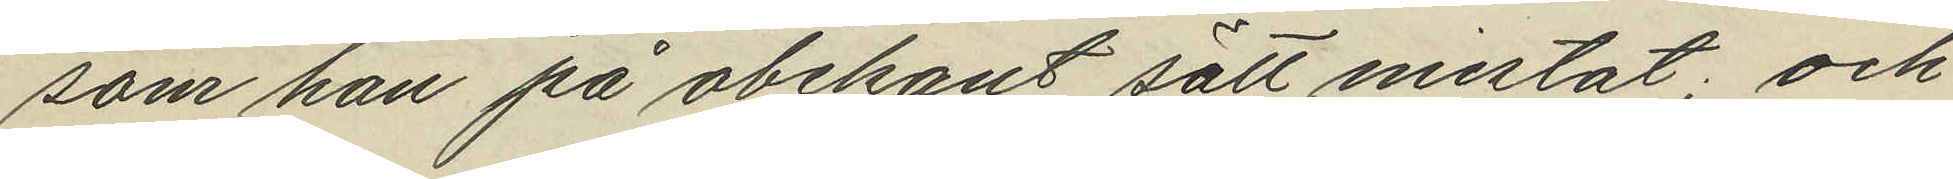som han på obekant sätt mistat; och
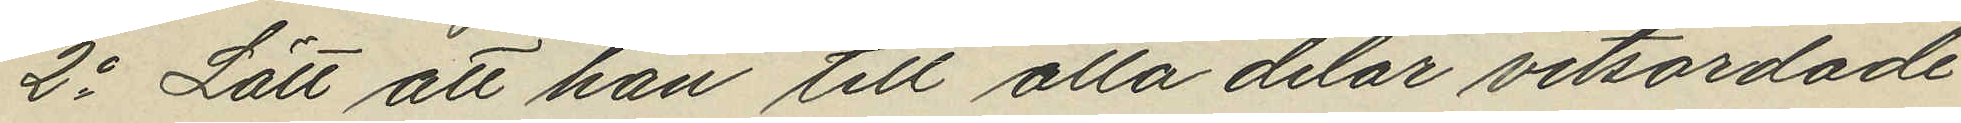2o Lätt att han till alla delar vitsordade
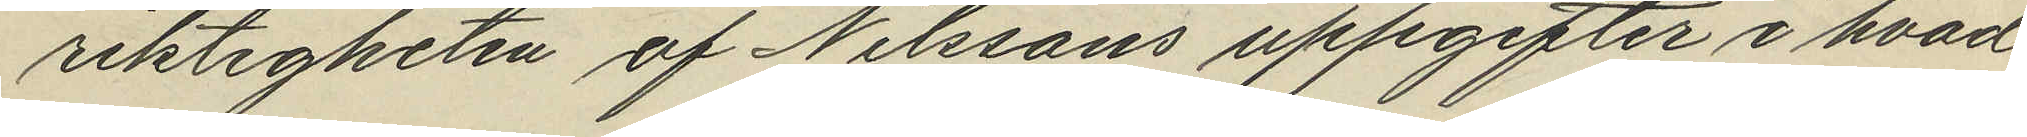riktigheten af Nilssons uppgifter i hvad
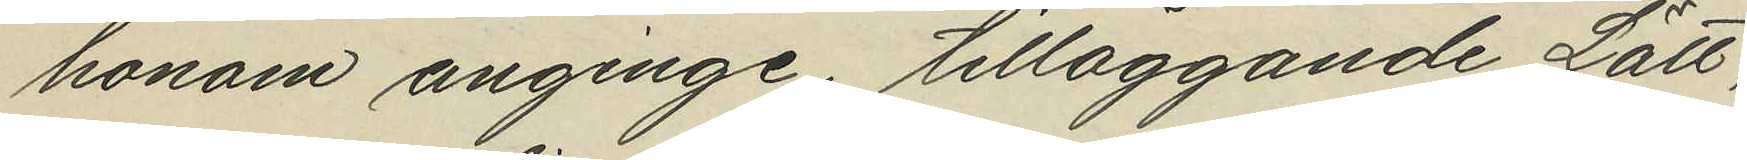honom anginge; tilläggande Lätt,
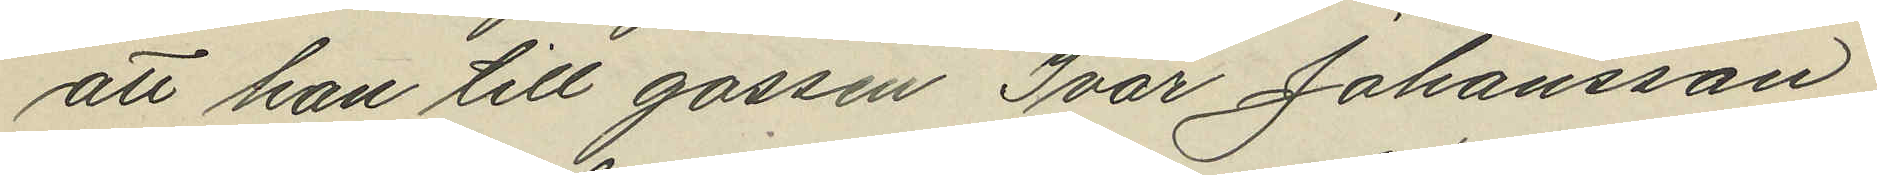att han till gossen Ivar Johansson
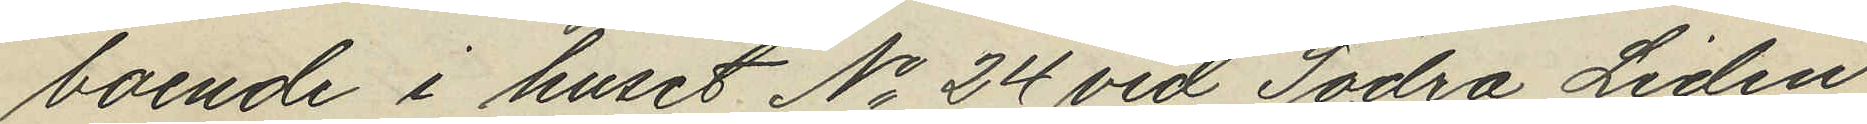boende i huset No 24 vid Södra Liden
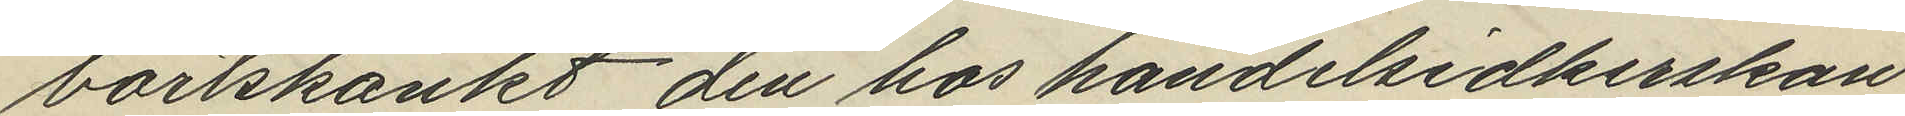bortskänkt den hos handelsidkerskan
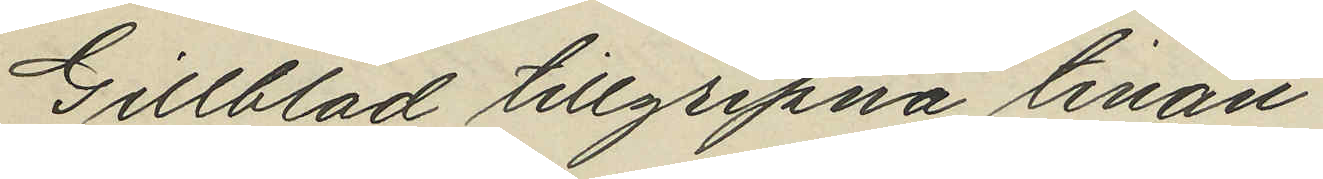Gillblad tillgripna tinan.
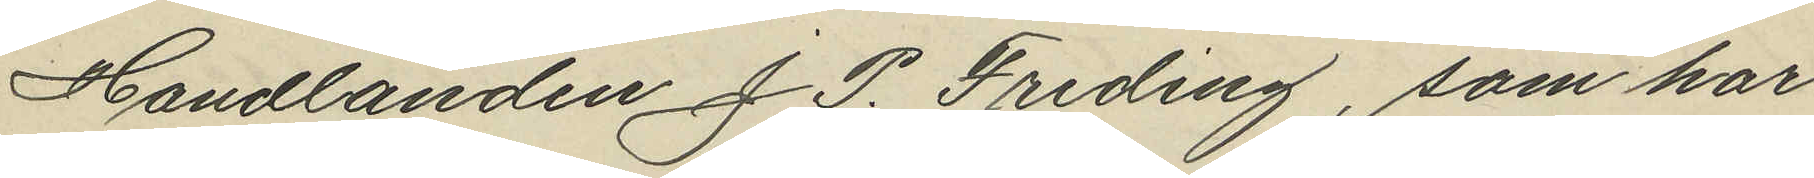Handlanden J. P. Freding, som har
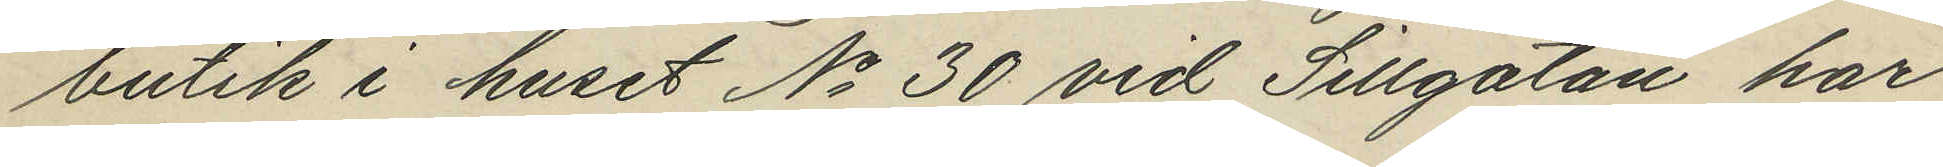butik i huset No 30 vid Sillgatan har
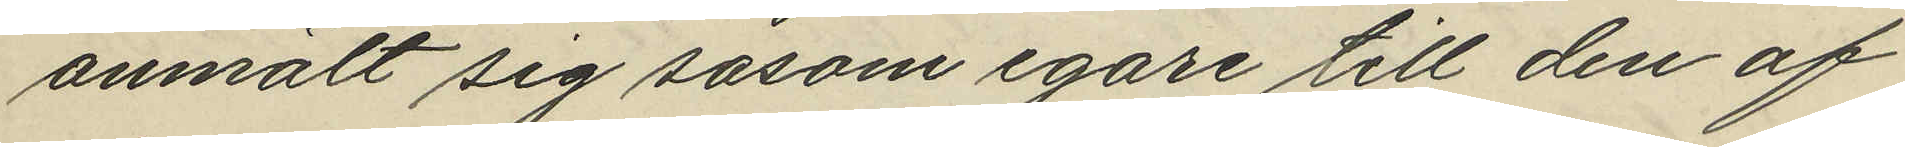anmält sig såsom egare till den af
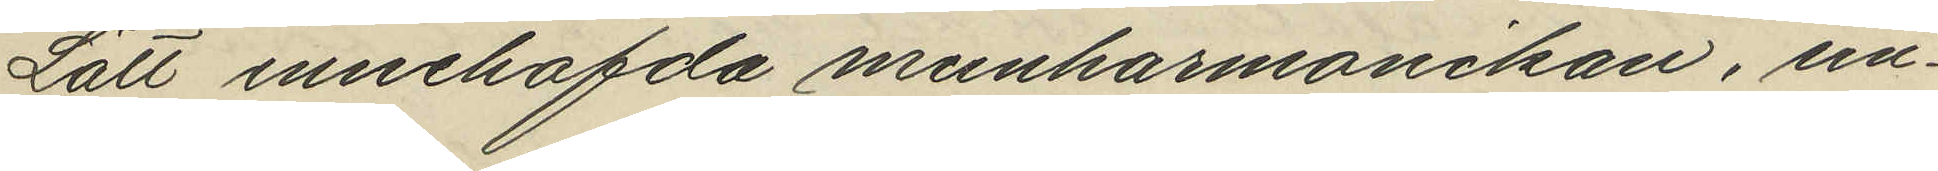Lätt innehafda munharmonikan, un¬
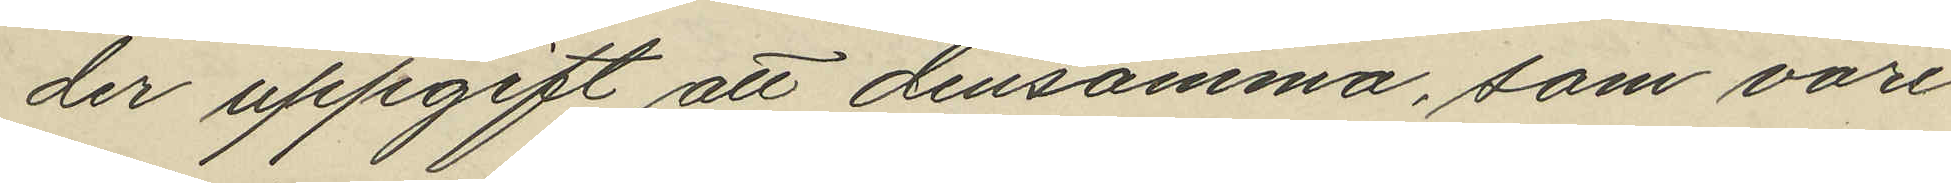der uppgift att densamma, som vore
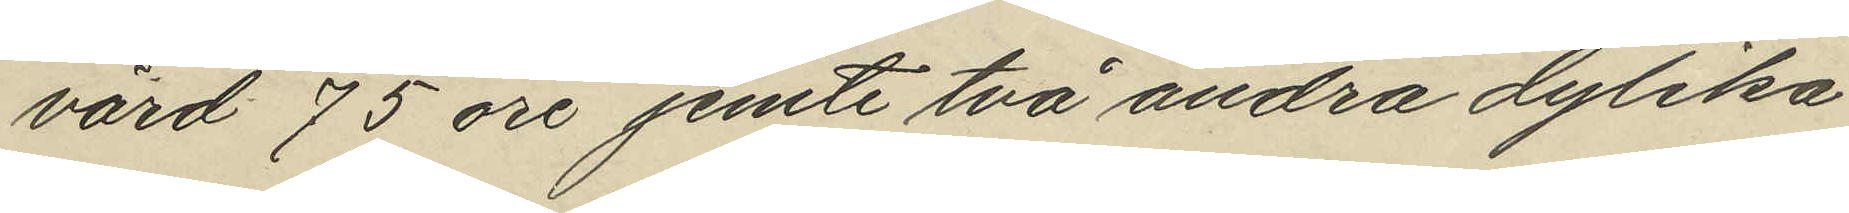värd 75 öre jemte två andra dylika
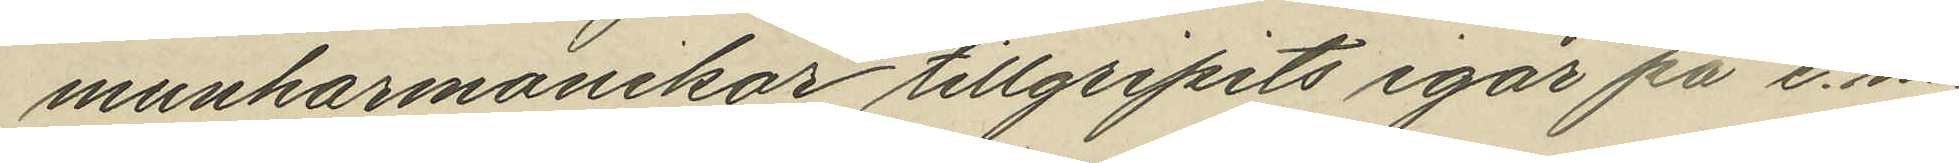munharmonikor tillgripits igår på e.m.
